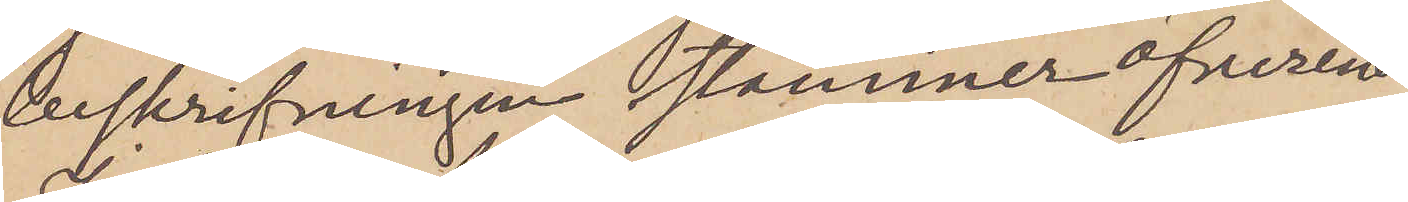beskrifningen stämmer öfverens
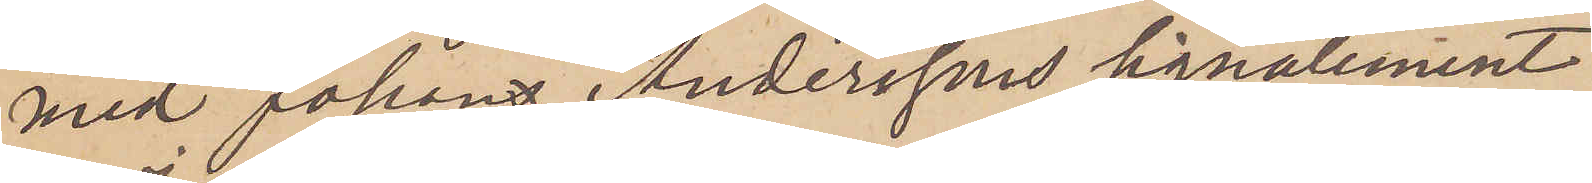med Johan Anderssons signalement.
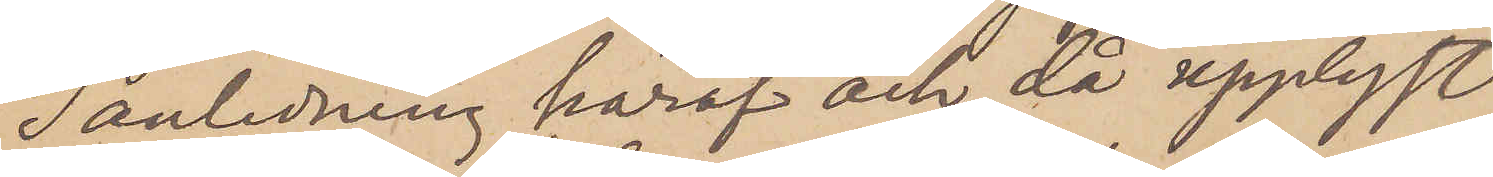I anledning häraf och då upplyst
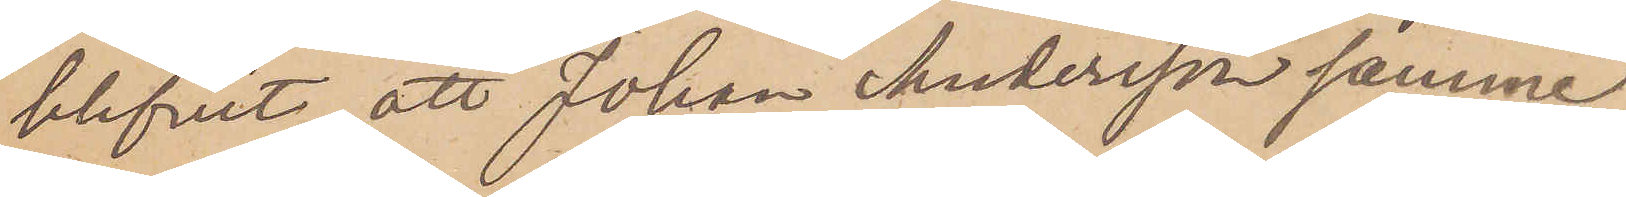blifvit, att Johan Andersson samme
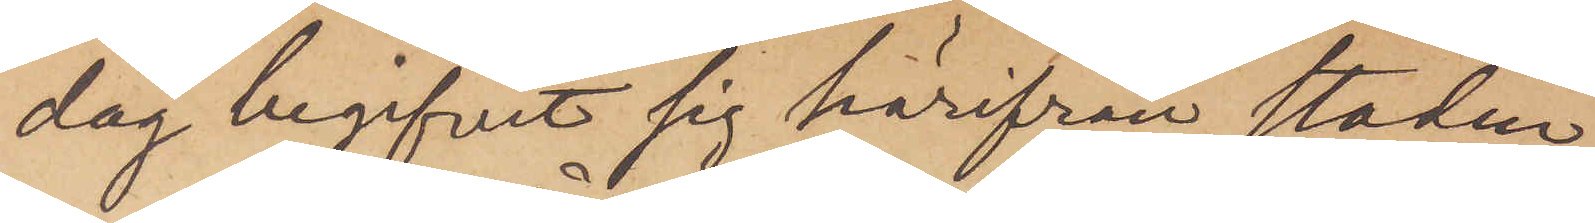dag begifvit sig härifrån staden
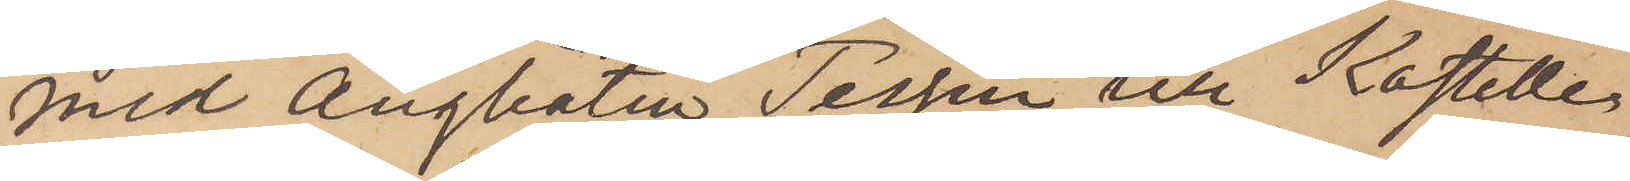med ångbåten Tessin till Kastelle¬
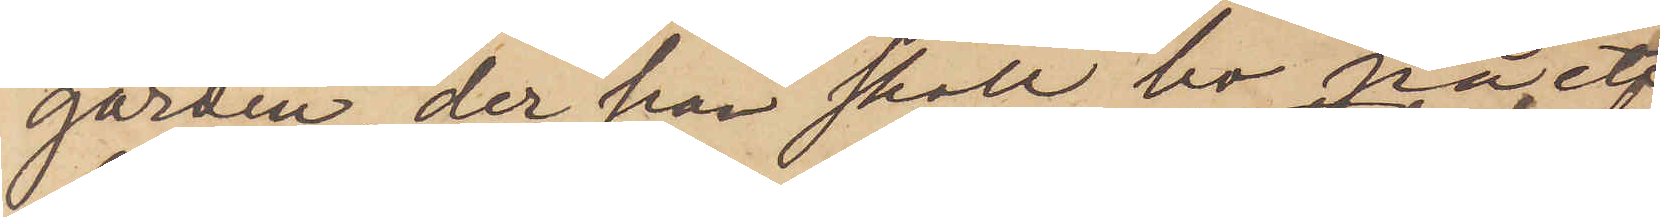gården, der han skall bo på ett
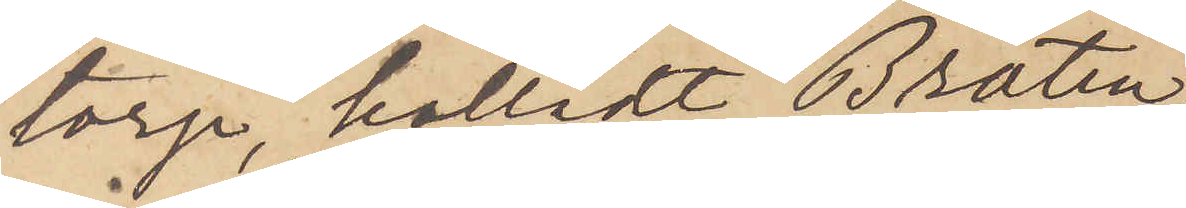torp, kalladt Bråten,
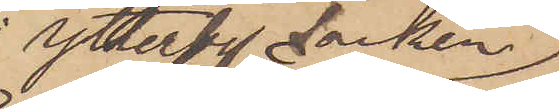Ytterby Socken
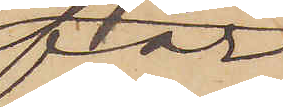får
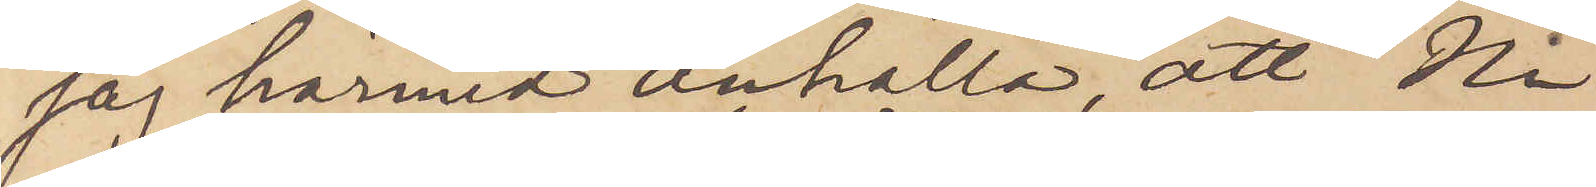jag härmed anhålla, att Ni
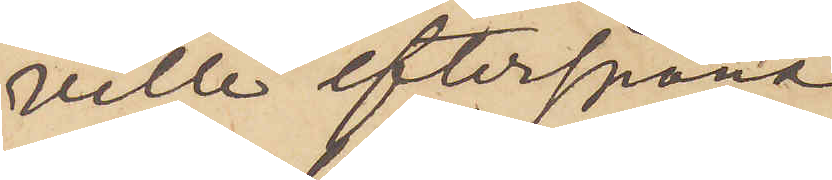ville efterspana
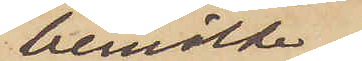bemälde
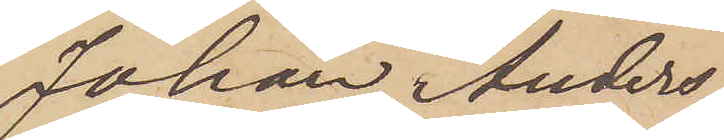Johan Anders¬
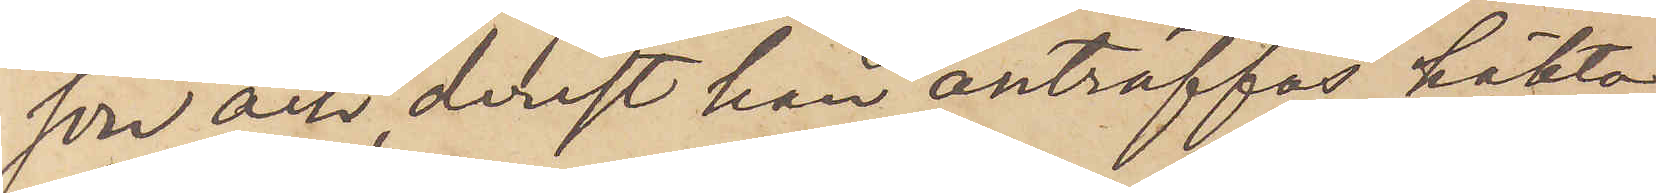son och derest han anträffas, häkta
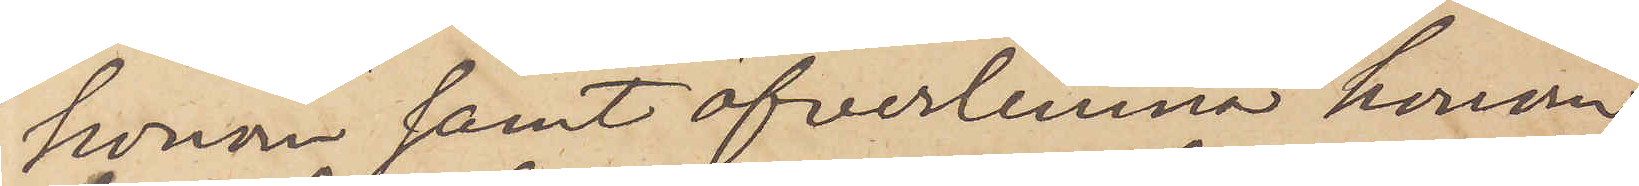honom samt öfverlemna honom
